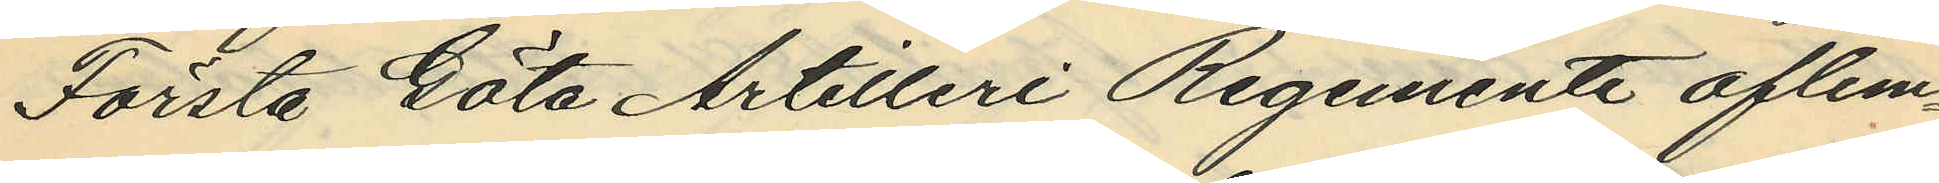Första Göta Artilleri Regemente aflem¬
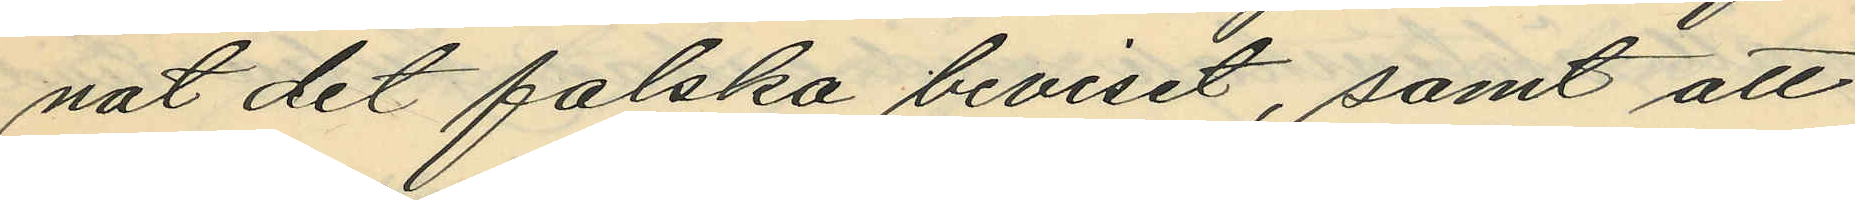nat det falska beviset, samt att
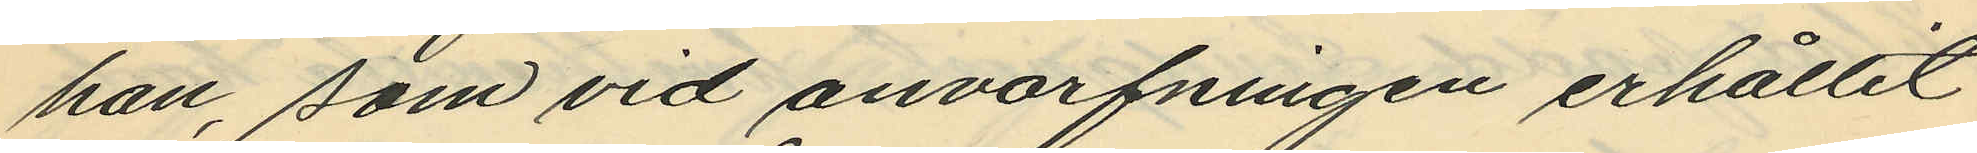han, som vid anvarfningen erhållit
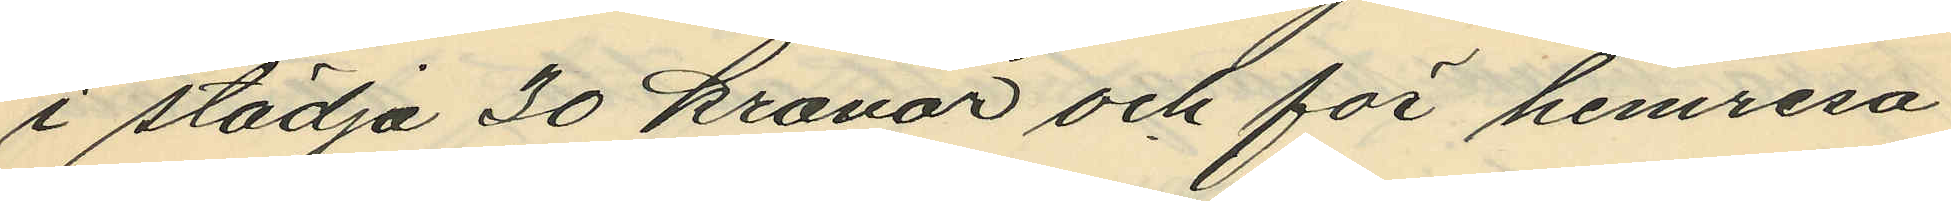i städja 30 kronor och för hemresa
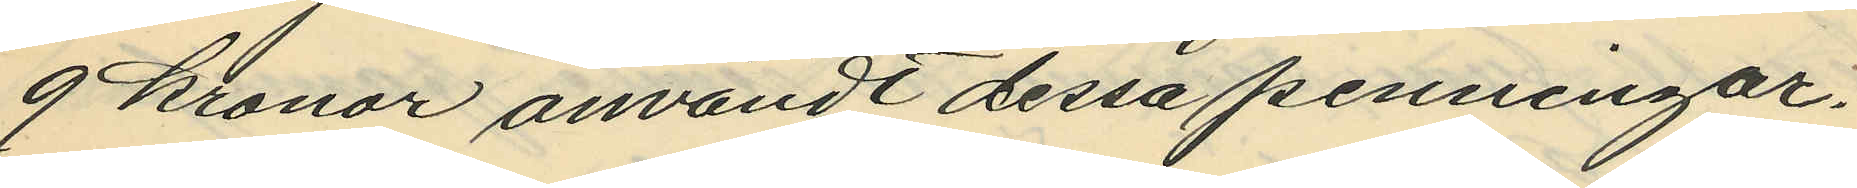9 kronor användt dessa penningar.
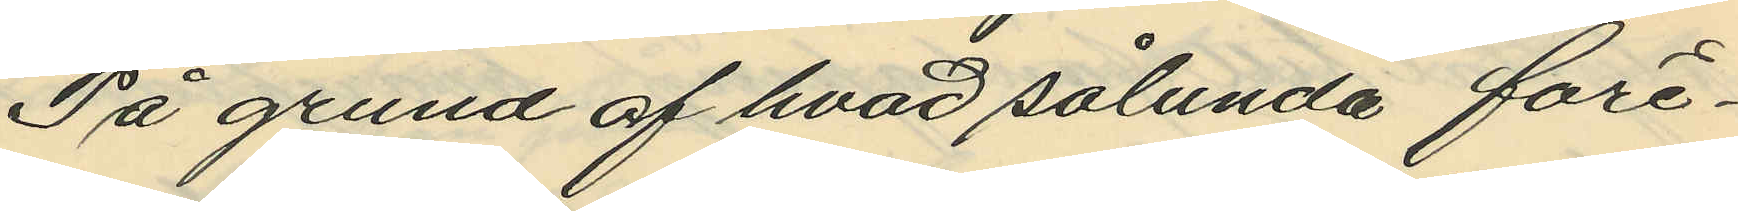På grund af hvad sålunda före¬
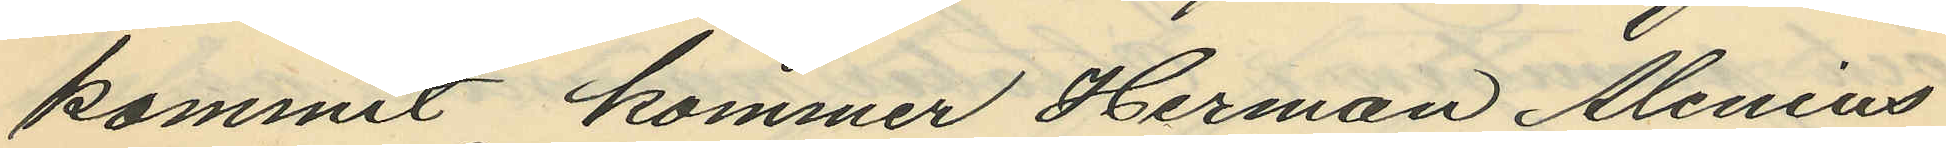kommit kommer Herman Alenius
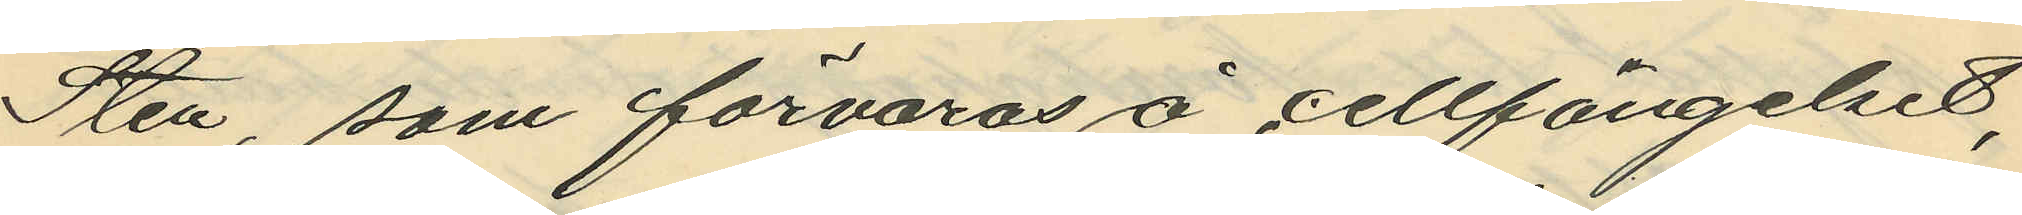Sten, som förvaras å cellfängelset,
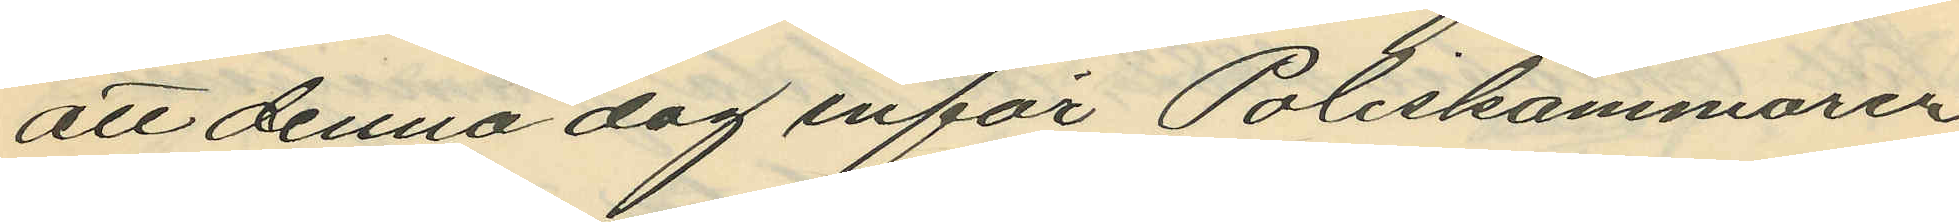att denna dag inför Poliskammaren
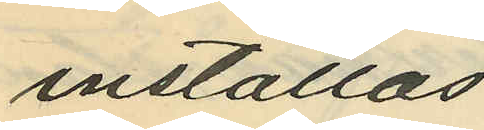inställas.
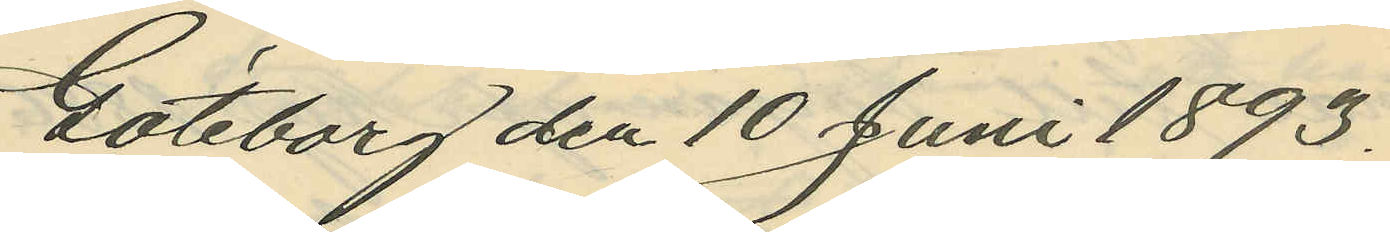Göteborg den 10 Juni 1893.
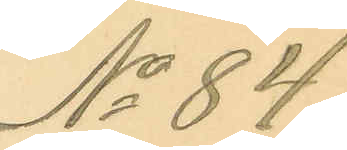No 84.
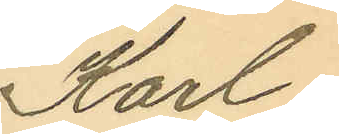Karl
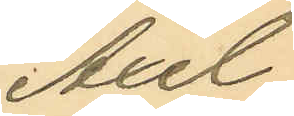Axel
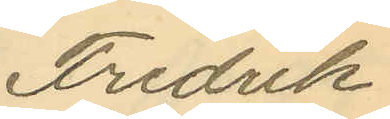Fredrik
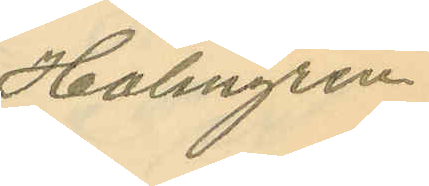Holmgren
